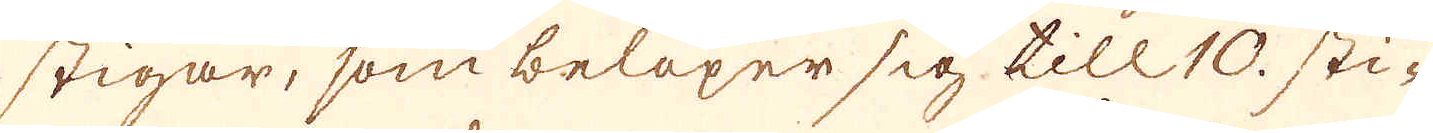stigar, som belöper sig till 10. sti-
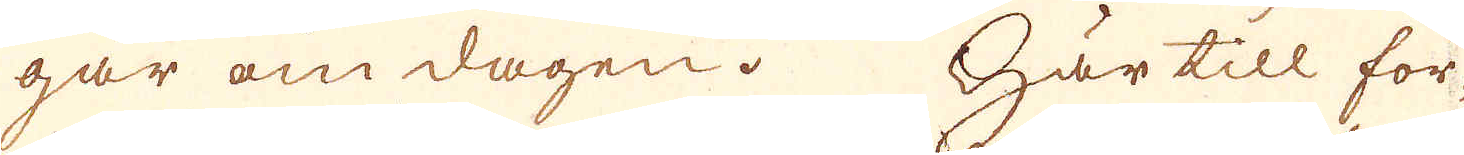gar om dagen. Här till for-
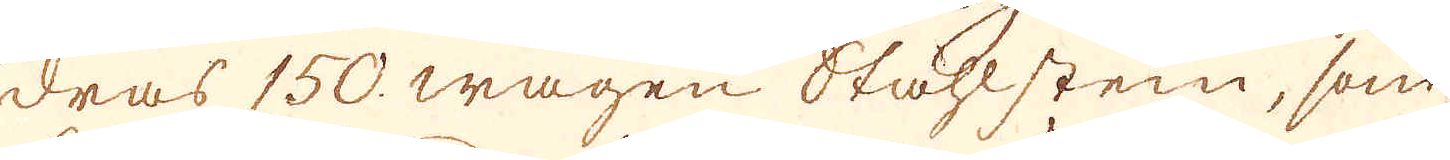dras 150. wagen Ståhlstein, som
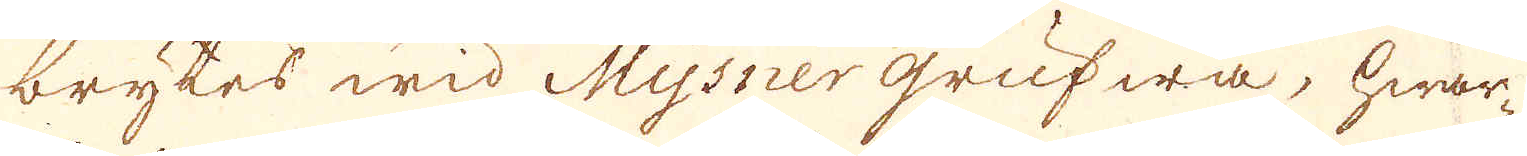brytes wid Mysner grufwa, hwar-
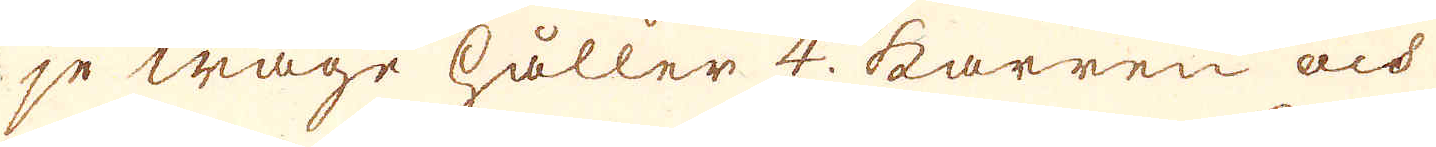je wage håller 4. karren och
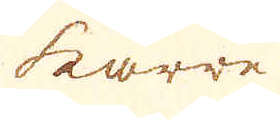karre
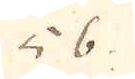56.
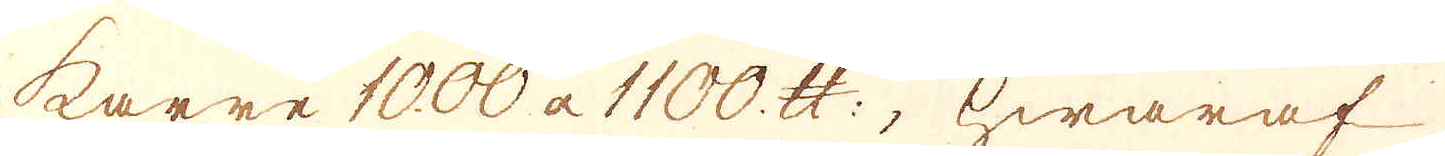karre 1000 a 1100. skålpund; hwaraf
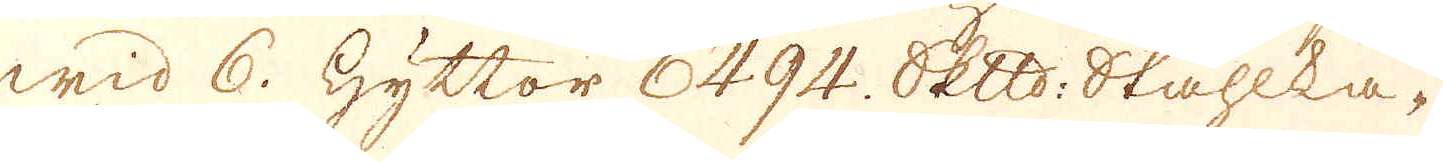wid 6. Hyttor 6494. Skeppund Ståhlka-
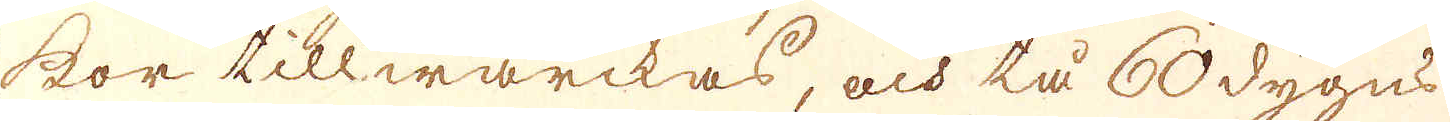kor tillwärckas, och tå 60 dygns
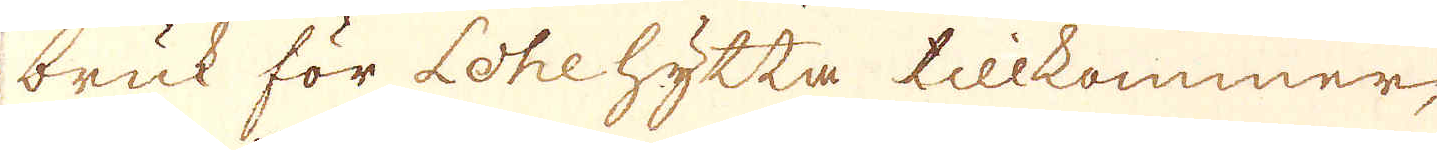bruk för Lohe hytta tillkommer,
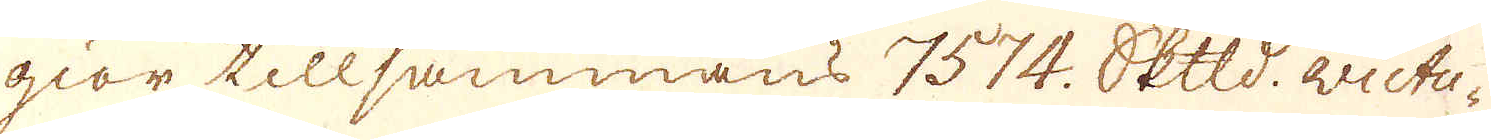giör tillsammans 7574. Skepppund victu-
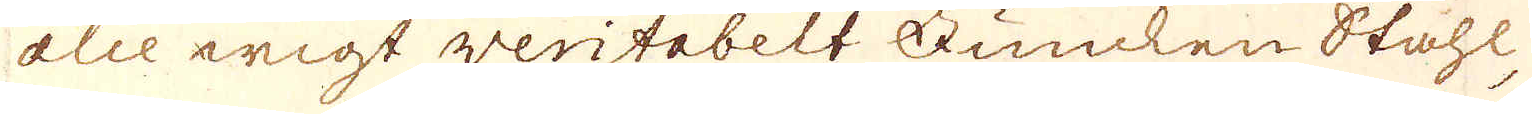alie wigt veritabelt Funcken Ståhl,
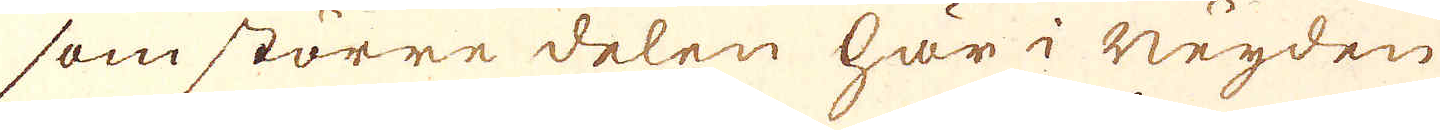som större delen har neyden
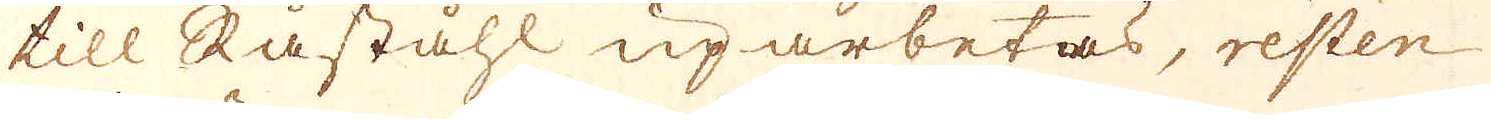till Råståhl uparbetas, resten
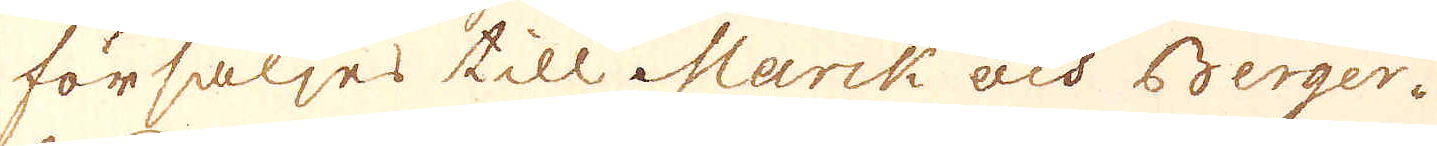försäljes till Marck och Berger-
